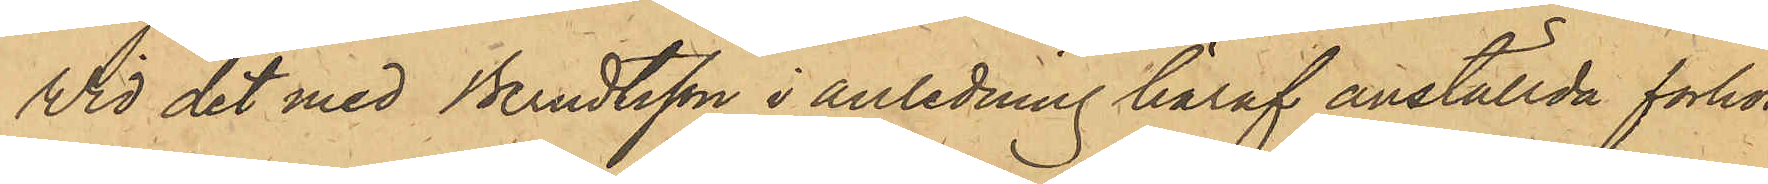Vid det med Berndtsson i anledning häraf anställda förhör
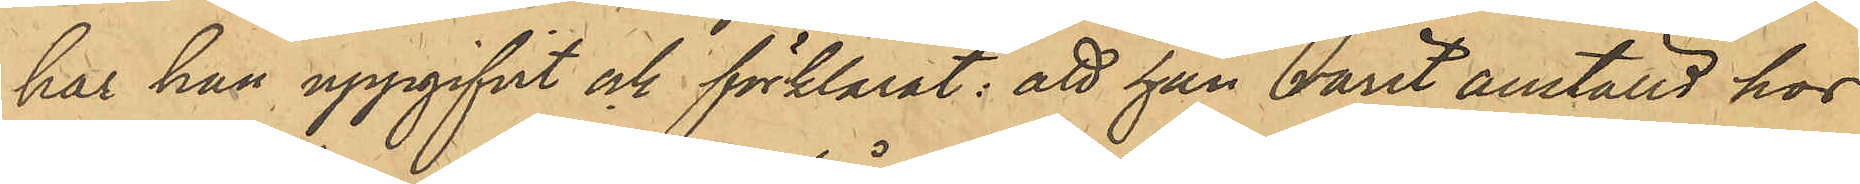har han uppgifvit och förklarat: att han varit anställd hos
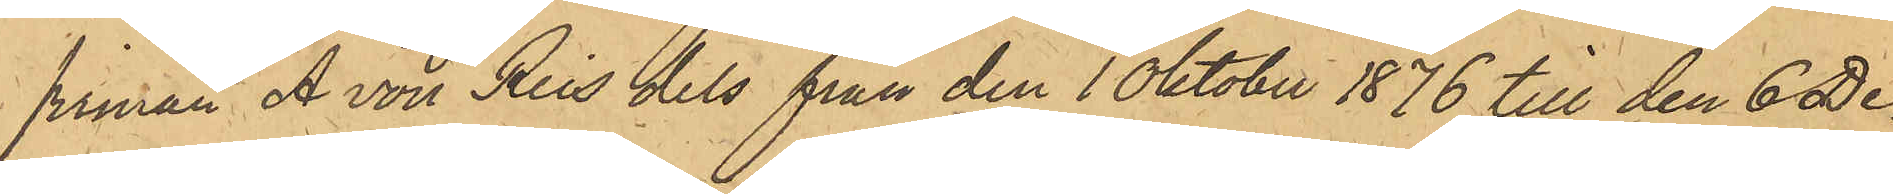firman A von Reis dels från den 1 Oktober 1876 till den 6 De¬
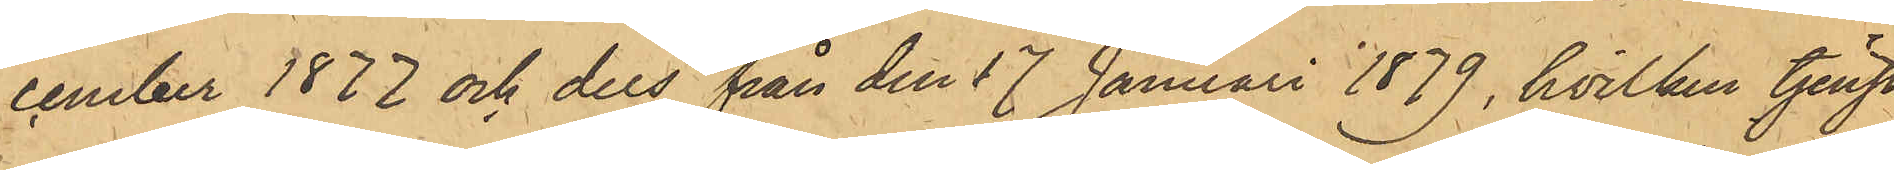cember 1877 och dels från den 17 Januari 1879, hvilken tjenst
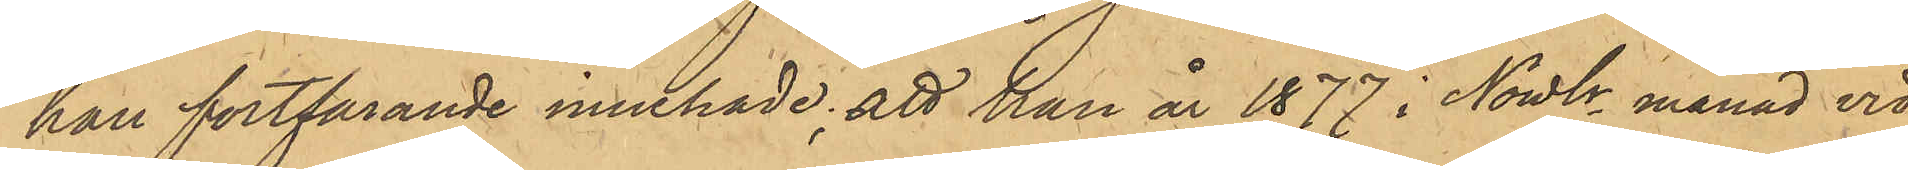han fortfarande innehade; att han år 1877 i Nowbr månad vid
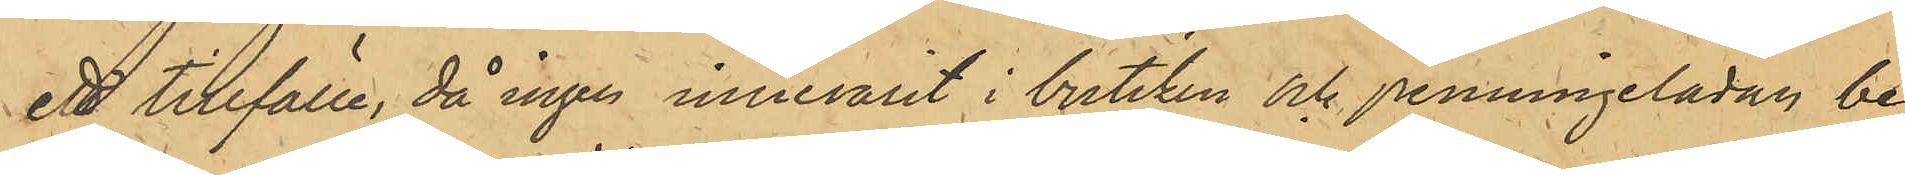ett tillfälle, då ingen innevarit i butiken och penningelådan be¬
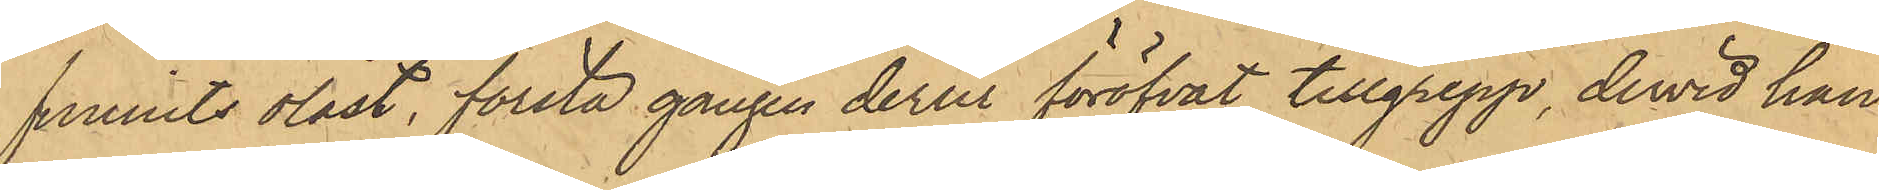funnits olåst, första gången derur föröfvat tillgrepp, dervid han
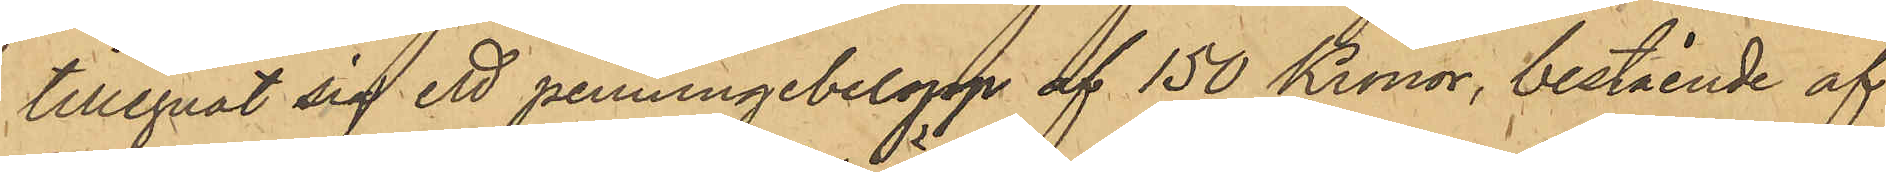tillegnat sig ett penningebelopp af 150 Kronor, bestående af
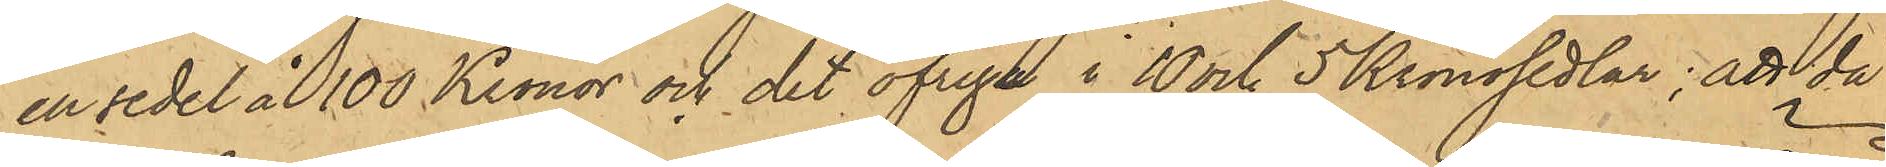en sedel å 100 Kronor och det öfriga i 10 och 5 Kronosedlar; att då
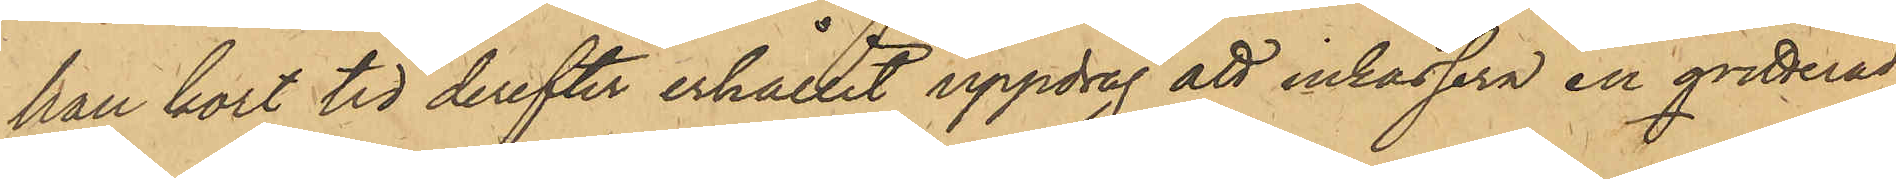han kort tid derefter erhållit uppdrag att inkassera en qvitterad
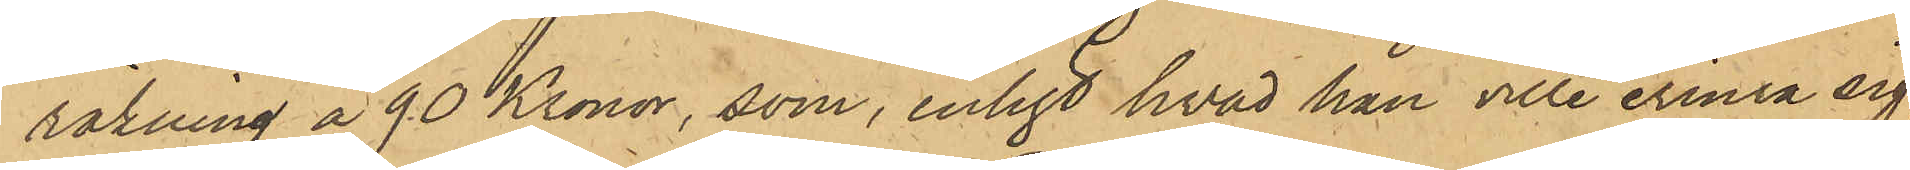räkning å 90 Kronor, som, enligt hvad han ville erinra sig,
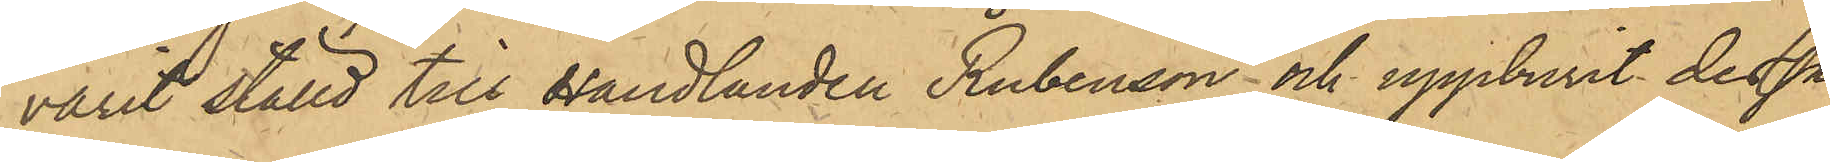varit ställd till Handlanden Rubenson och uppburit dessa
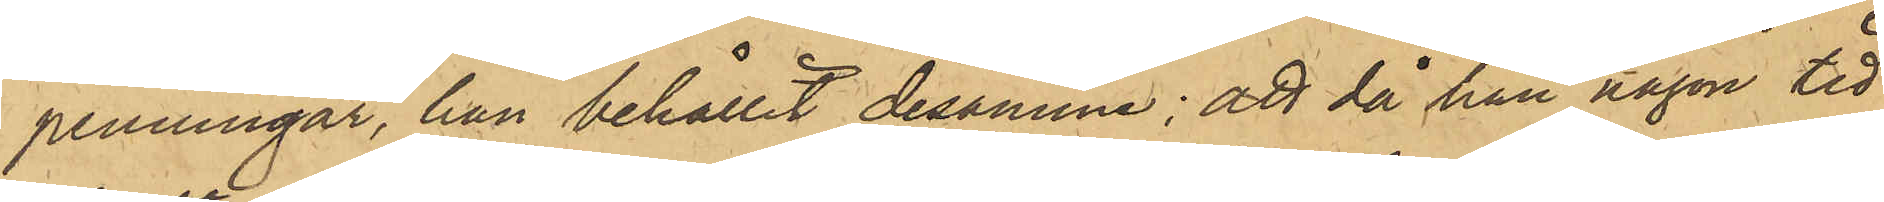penningar, han behållit desamme; att då han någon tid
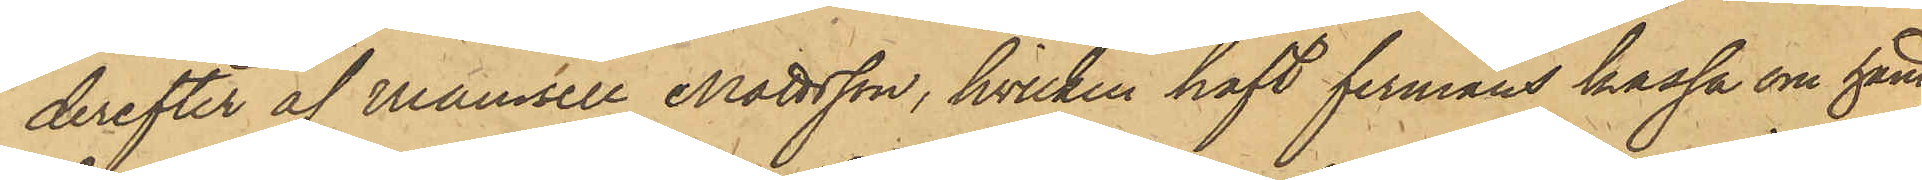derefter af Mamsell Mattsson, hvilken haft firmans kassa om hand,
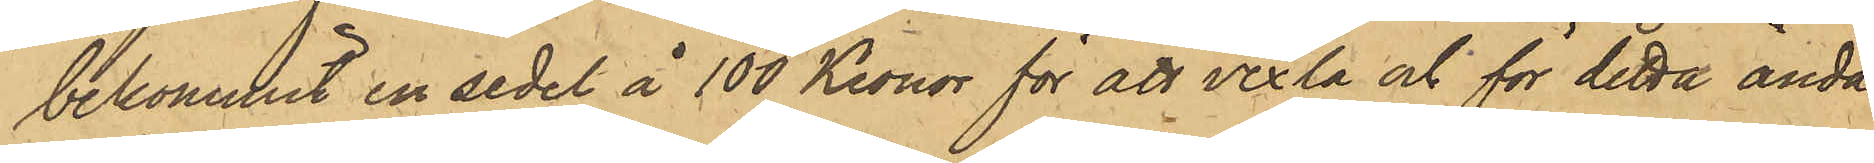bekommit en sedel å 100 Kronor för att vexla och för detta ända¬
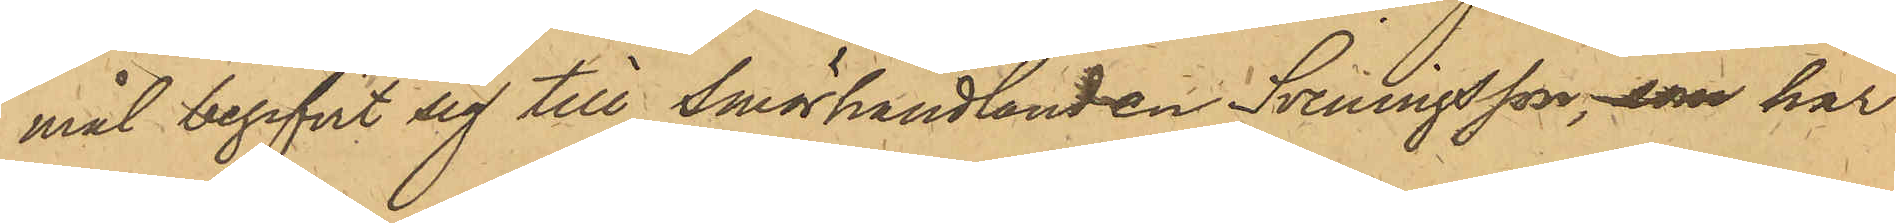mål begifvit sig till Smörhandlanden Sveningsson, som har
